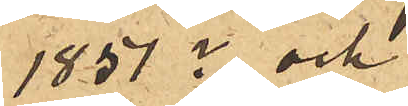1851? och
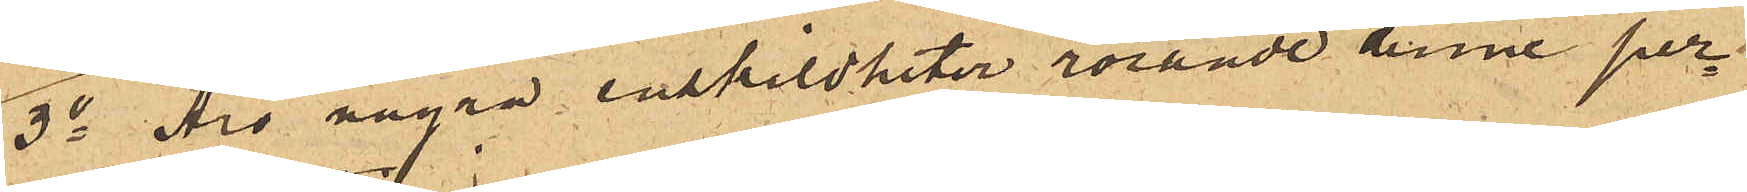3o Äro några enskildheter rörande denne per¬
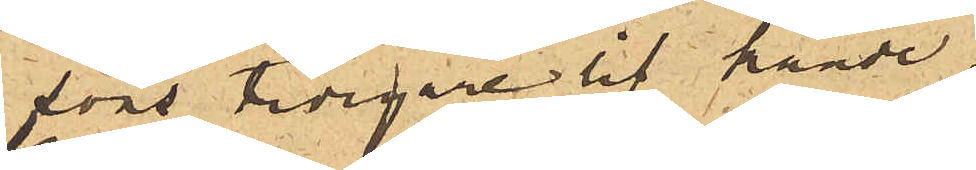sons tidigare lif kände.
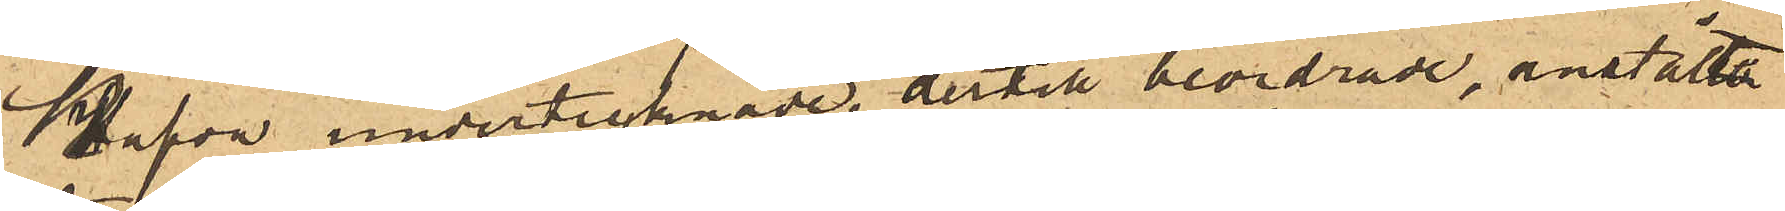hafva undertecknade, dertill beordrade, anstäldt
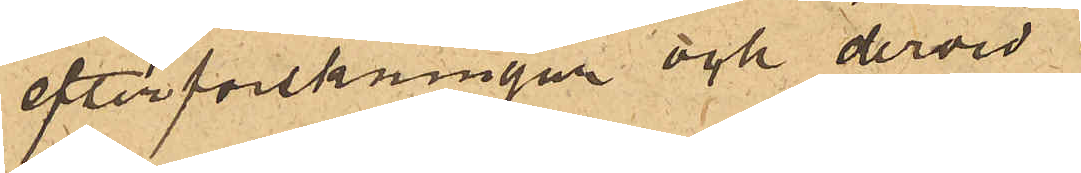efterforskningar och dervid
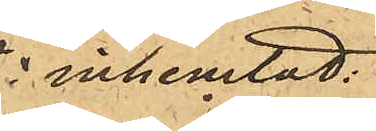inhemtat:
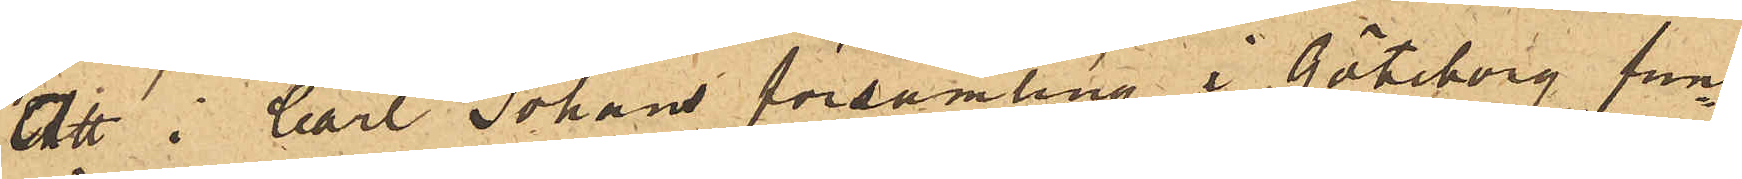Att i Carl Johans församling i Göteborg fun¬
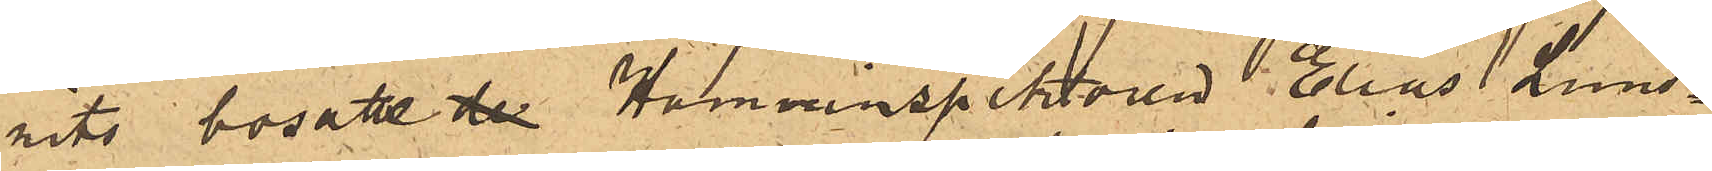nits bosatte der Hamninspektoren Elias Lund¬
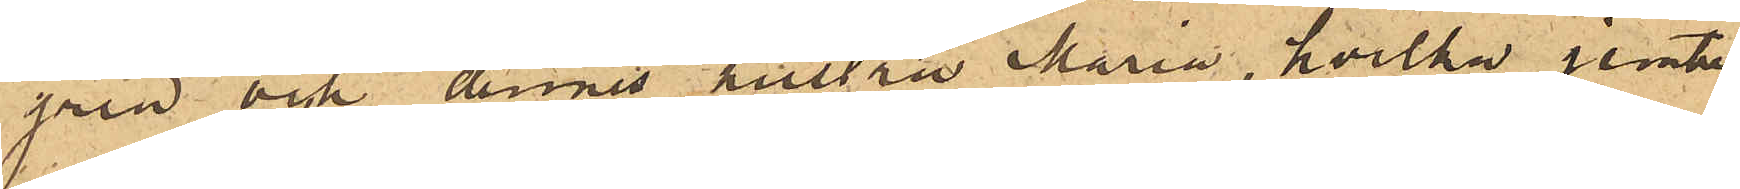gren och dennes hustru Maria, hvilka jemte
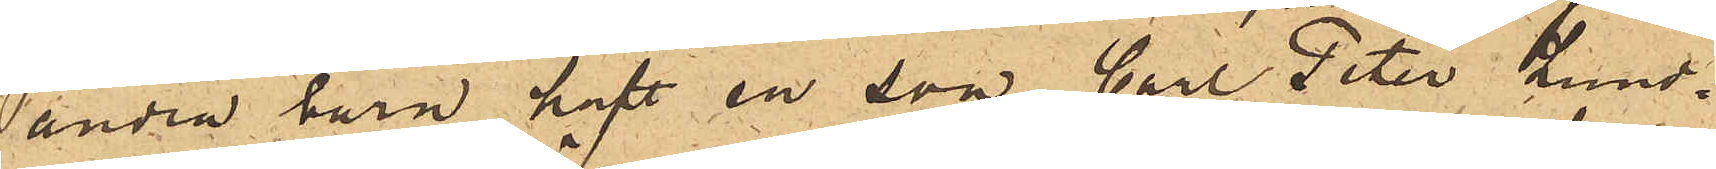andra barn haft en son Carl Peter Lund¬
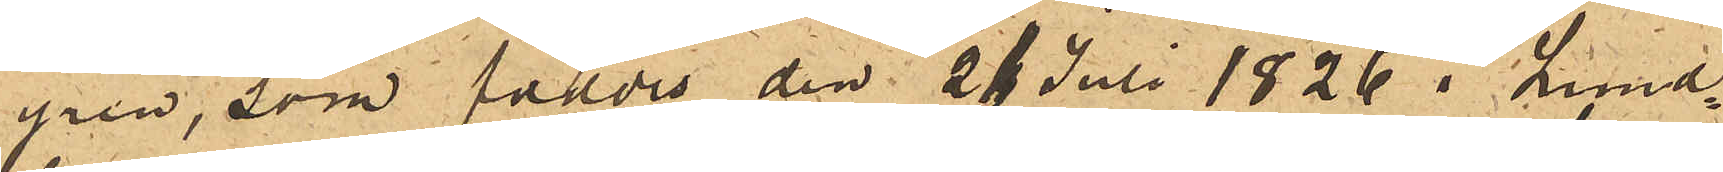gren, som föddes den 21 Juli 1826 i Lund¬
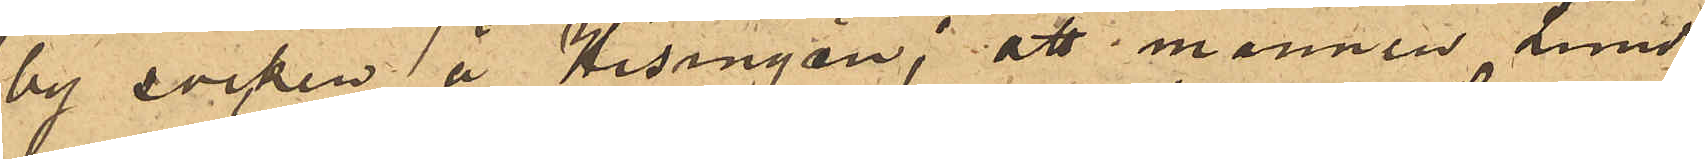by socken å Hisingön; att mannen Lund¬
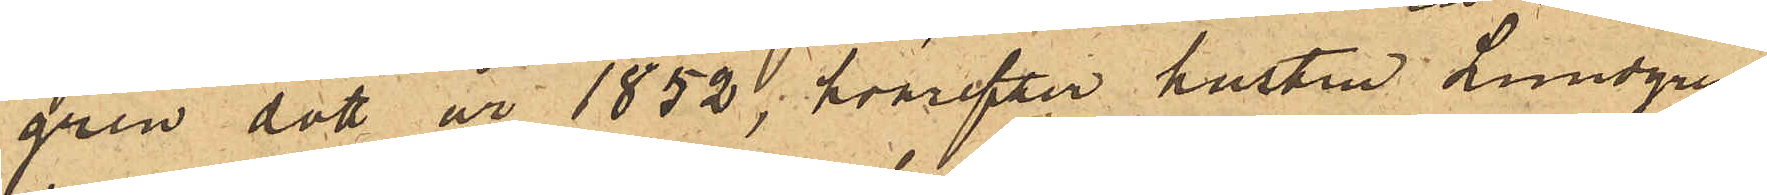gren dött år 1852, hvarefter hustru Lundgren
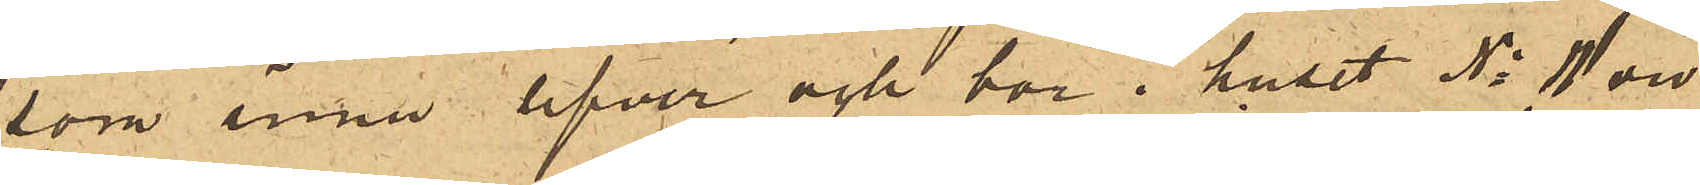som ännu lefver och bor i huset No 11 vid
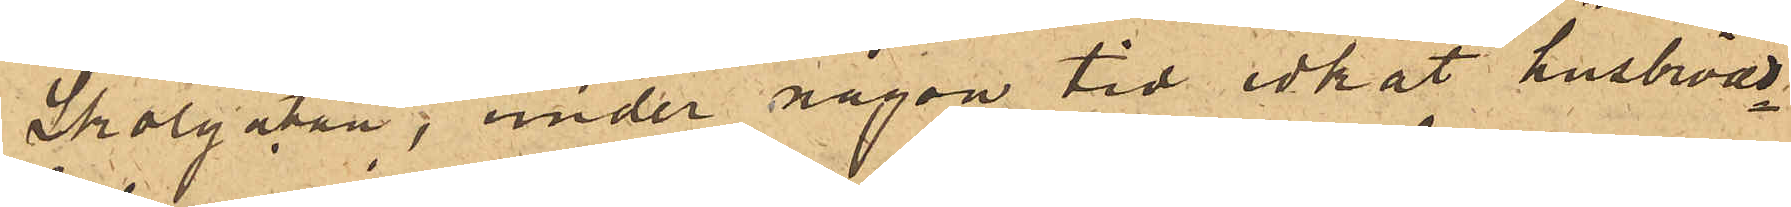Skolgatan, under någon tid idkat husbröds¬
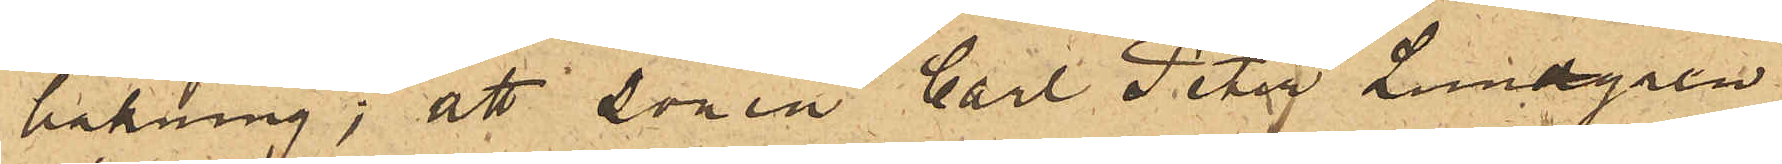bakning; att sonen Carl Peter Lundgren
